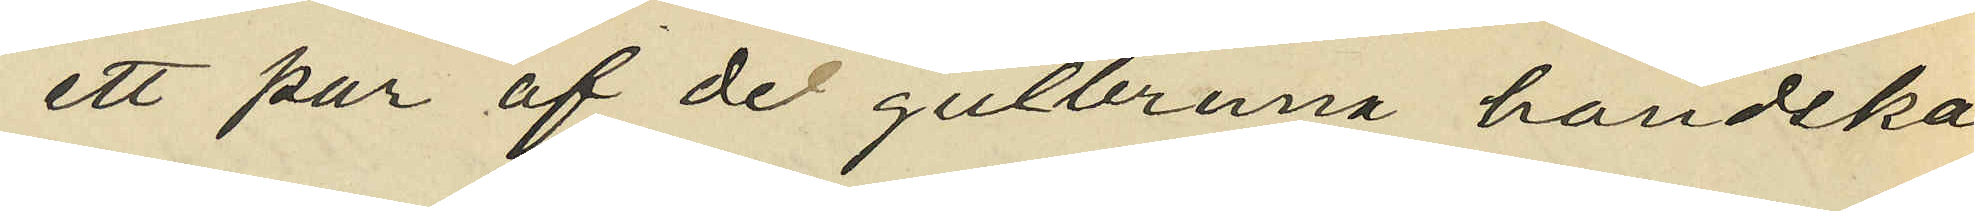ett par af de gulbruna handska
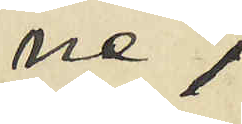ne,
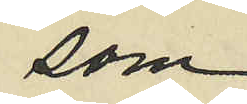som
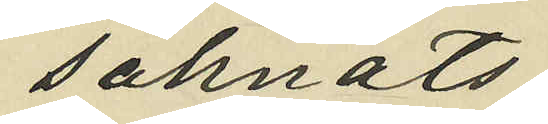saknats
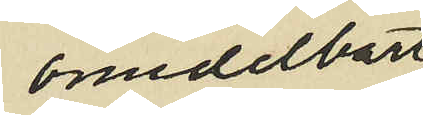omedelbart
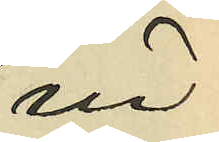in¬
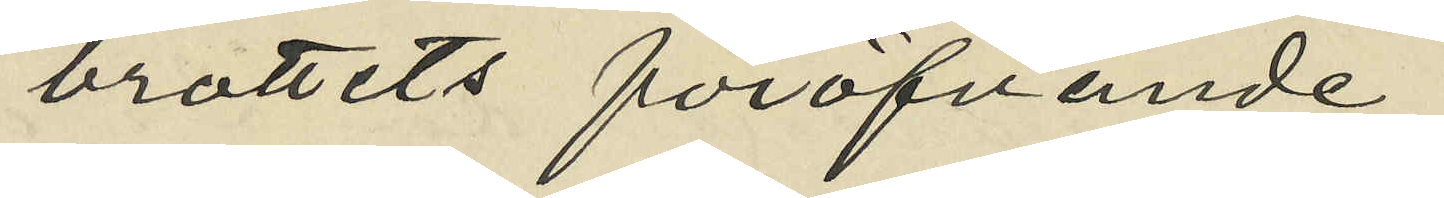brottets föröfvande;
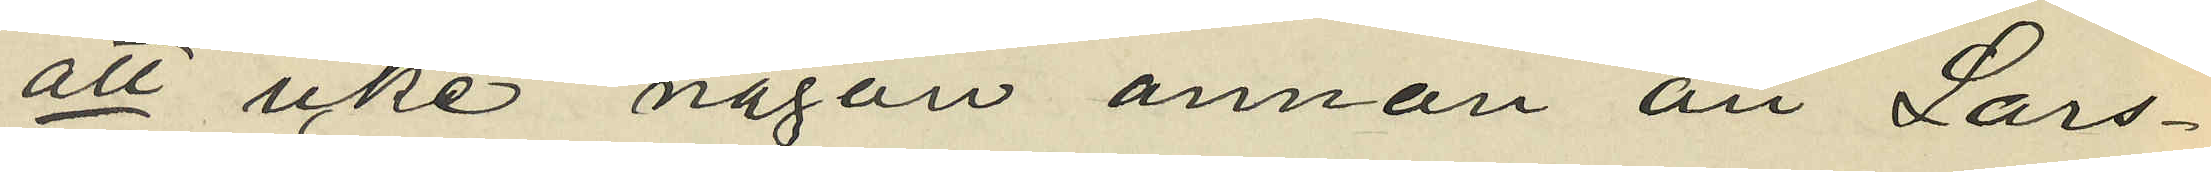att icke någon annan än Lars¬
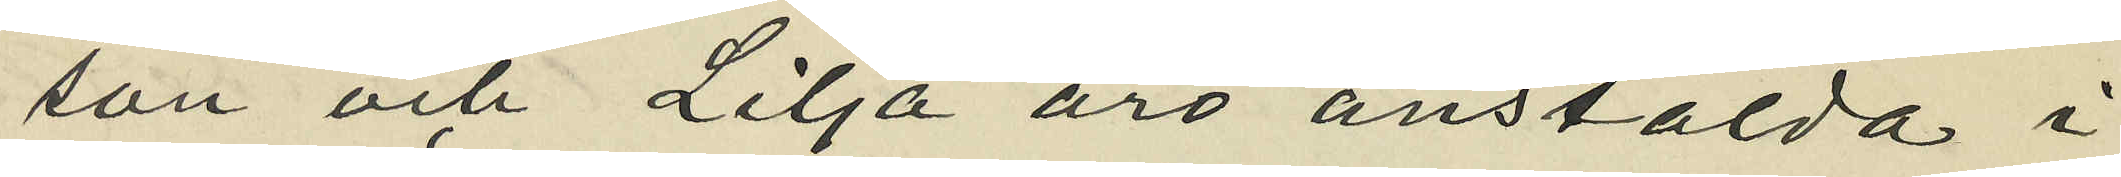son och Lilja äro anstälda i
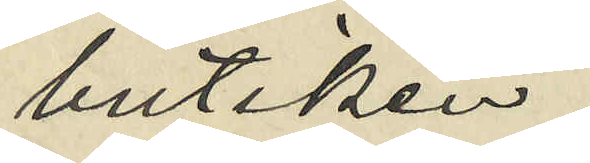butiken,
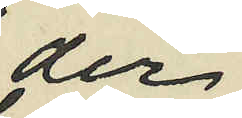der
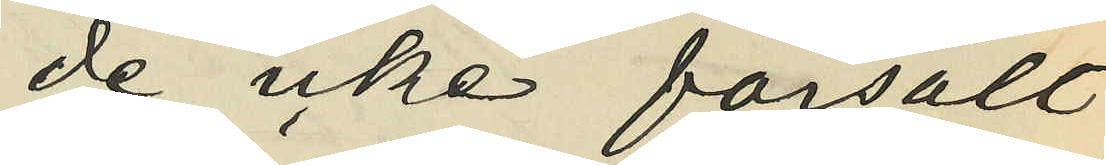de icke försålt
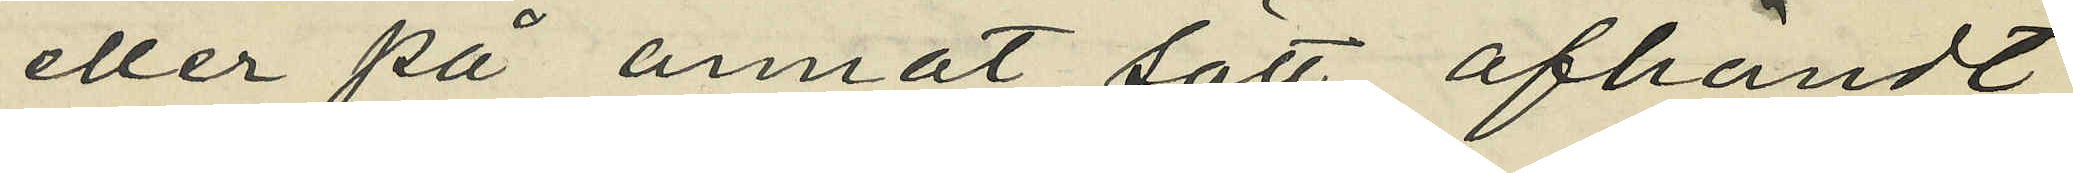eller på annat sätt afhändt
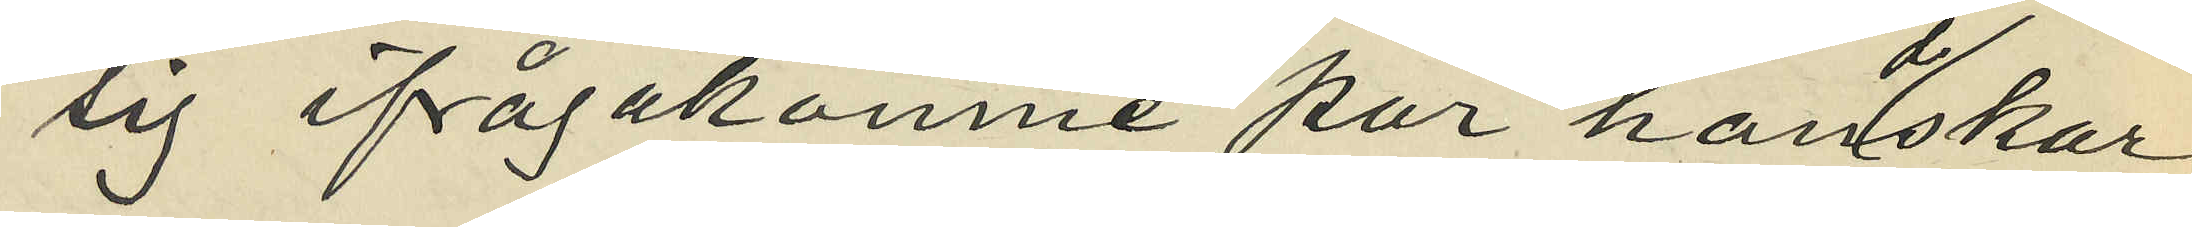sig ifrågakomne par hanskar,
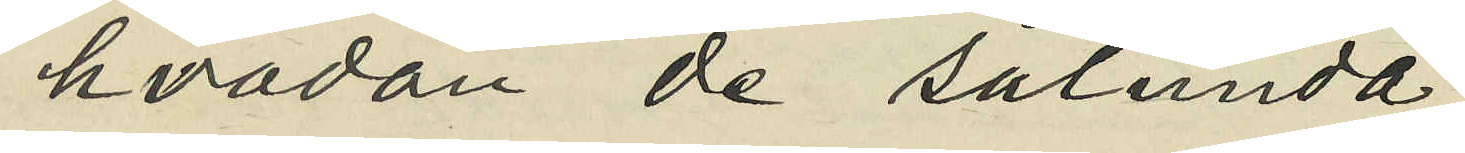hvadan de sålunda
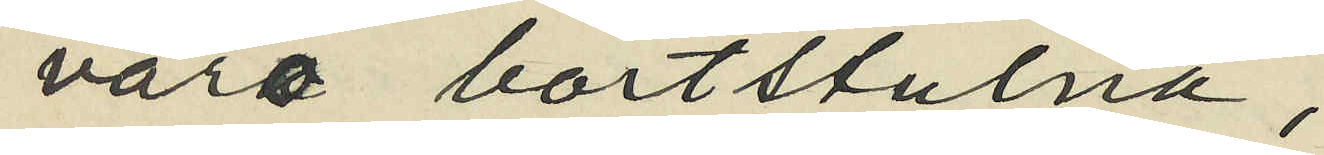varo bortstulna;
